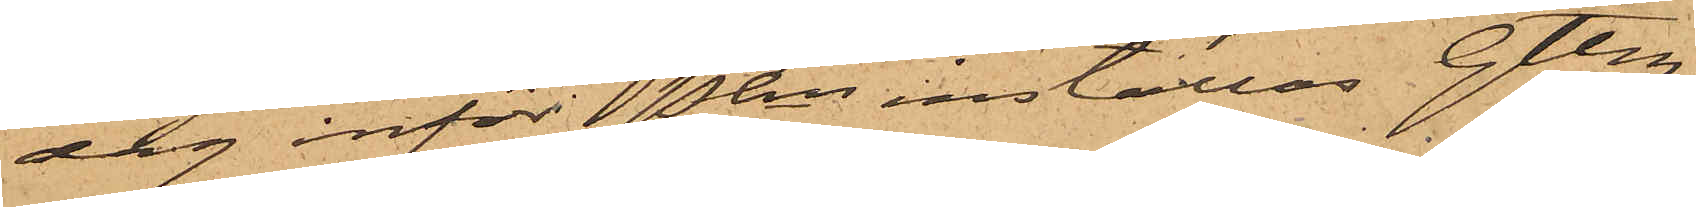dag inför Pkn inställas Gtbg
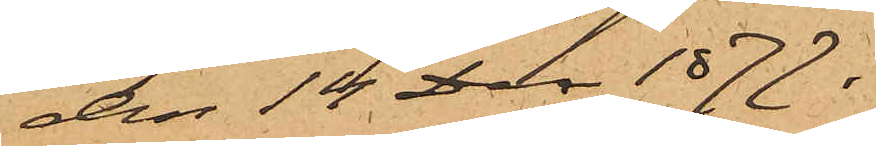den 14 Dec 1877.
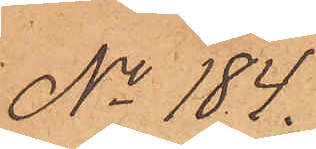No 184.
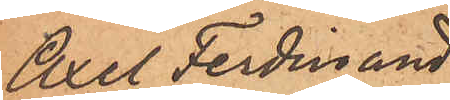Axel Ferdinand
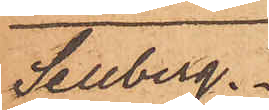Sellberg.
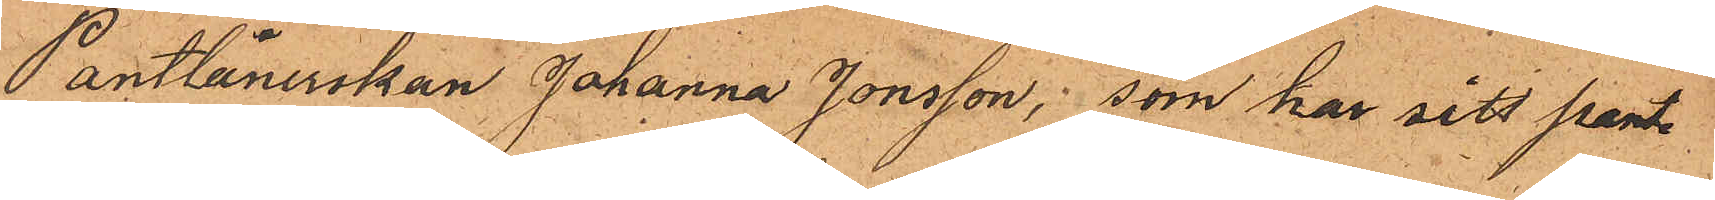Pantlånerskan Johanna Jonsson, som har sitt pant¬
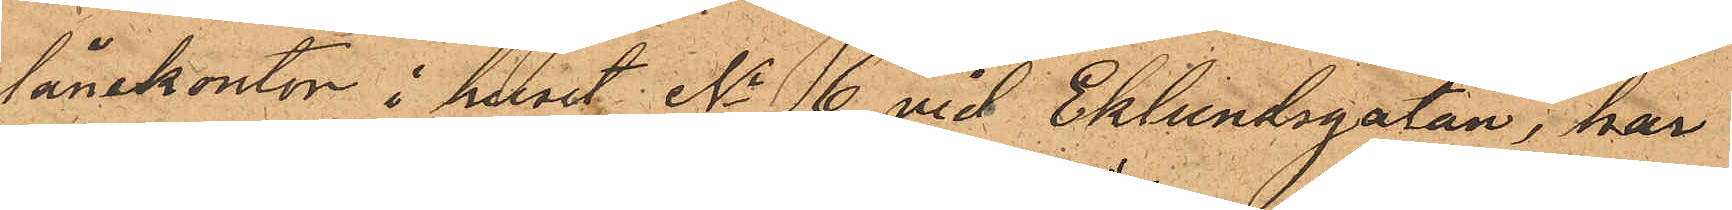lånekontor i huset No 6 vid Eklundsgatan, har
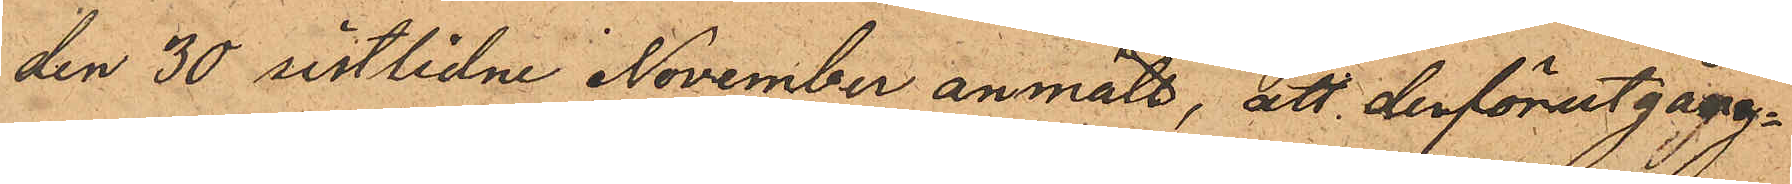den 30 sistlidne November anmält, att derförutgång¬
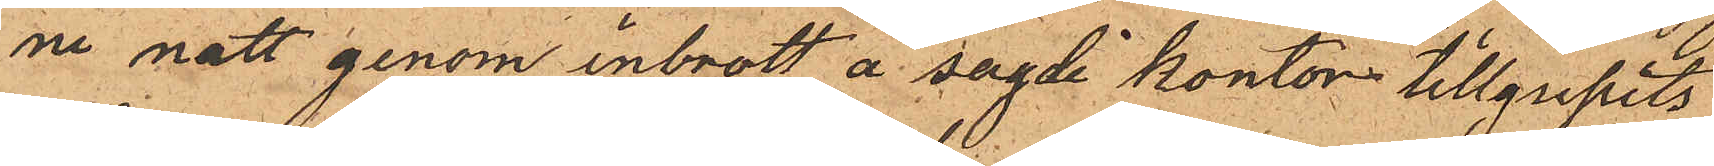ne natt genom inbrott å sagde kontor tillgripits
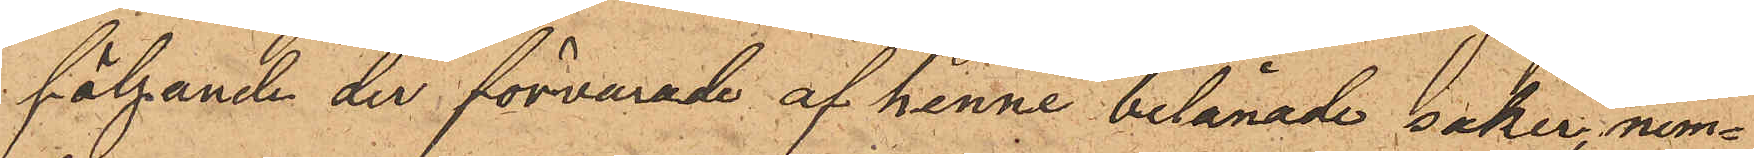följande der förvarade af henne belånade saker, nem¬
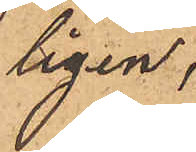ligen;
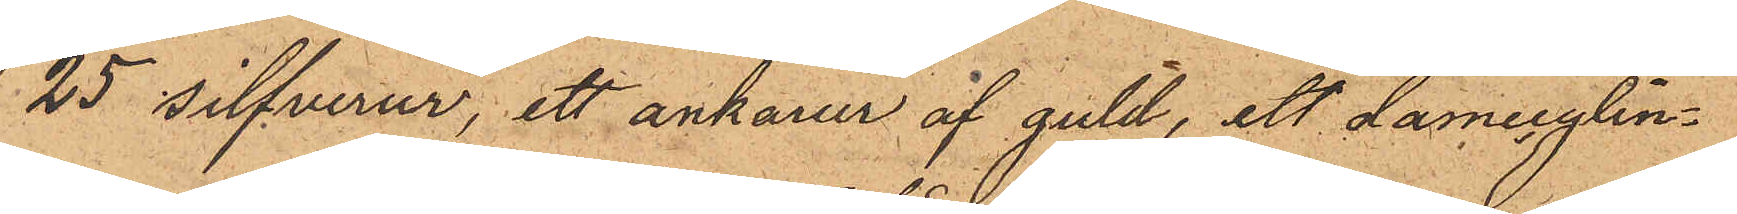25 silfverur, ett ankarur af guld, att damecylin¬
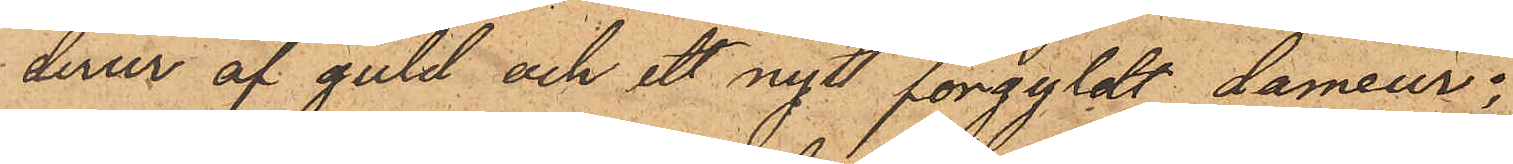derur af guld och ett nytt förgyldt dameur;
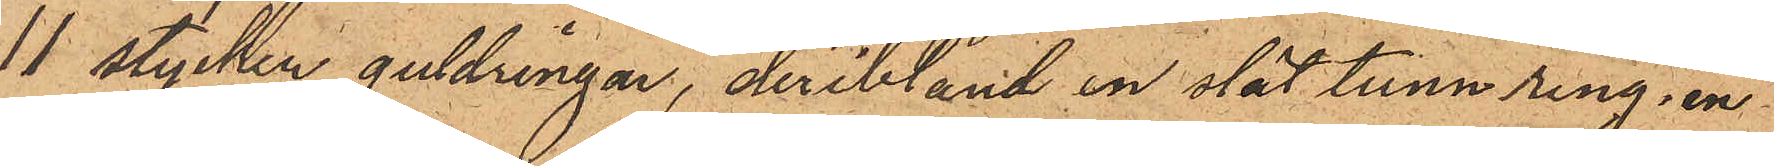11 stycken guldringar, deribland en slät tunn ring, en
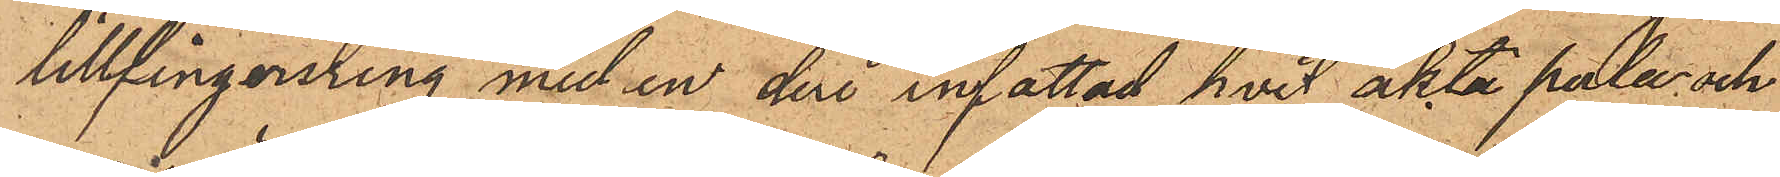lillfingerring med en deri infattad hvit äkta perla och
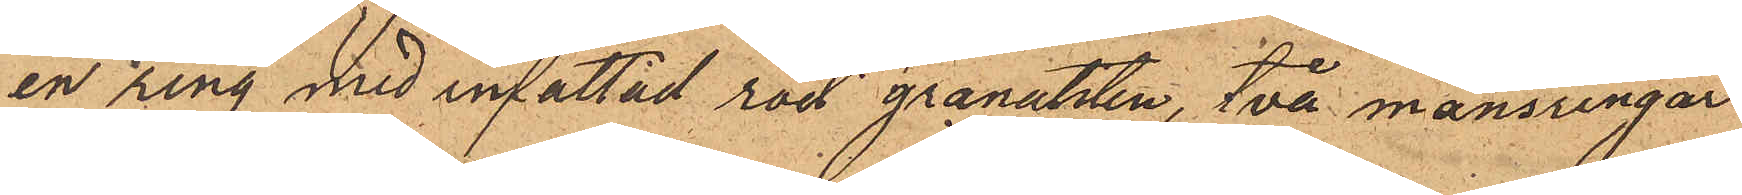en ring med infattad röd granatsten, två mansringar
